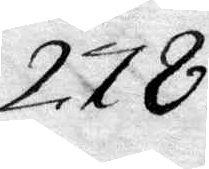278.
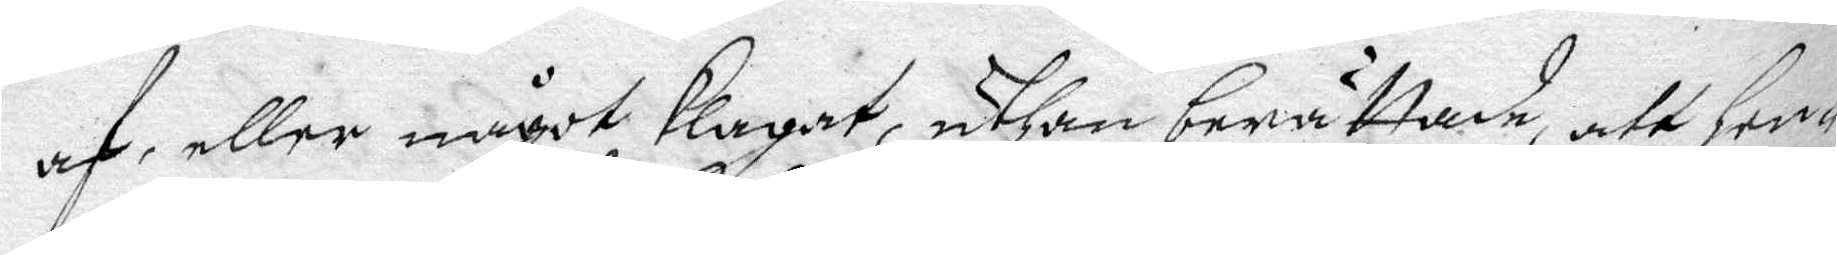af,alle något klagat, uthan berättade, att hen¬
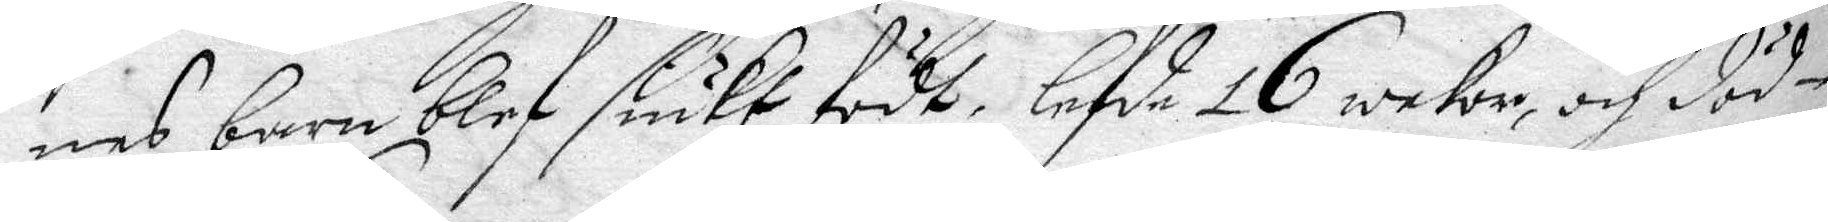nes barn blef siukt födt, lefde 16 wekor, och död¬
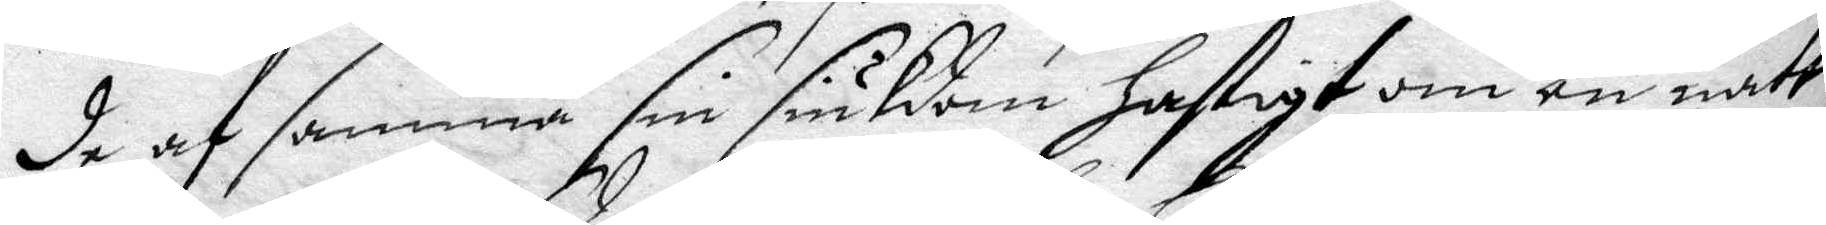de af samma sin siukdom hastigt om en natt
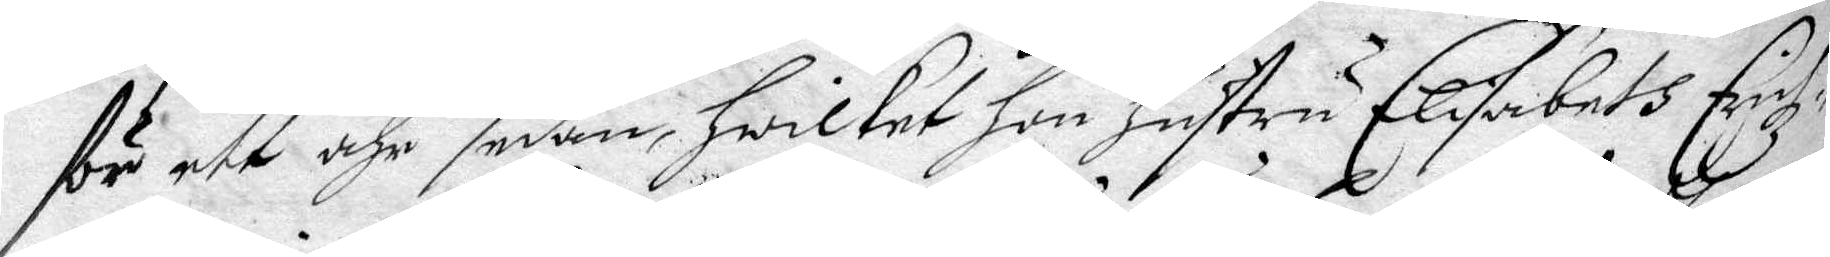för ett åhr sedan, hwilket hon hustru Elisabeth Erichz¬
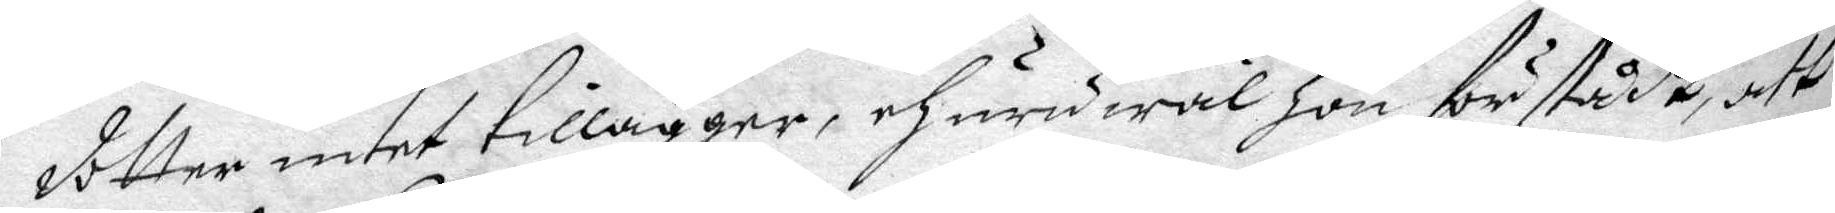dotter intet tilläger, ehuru wäl hon förstådt, att
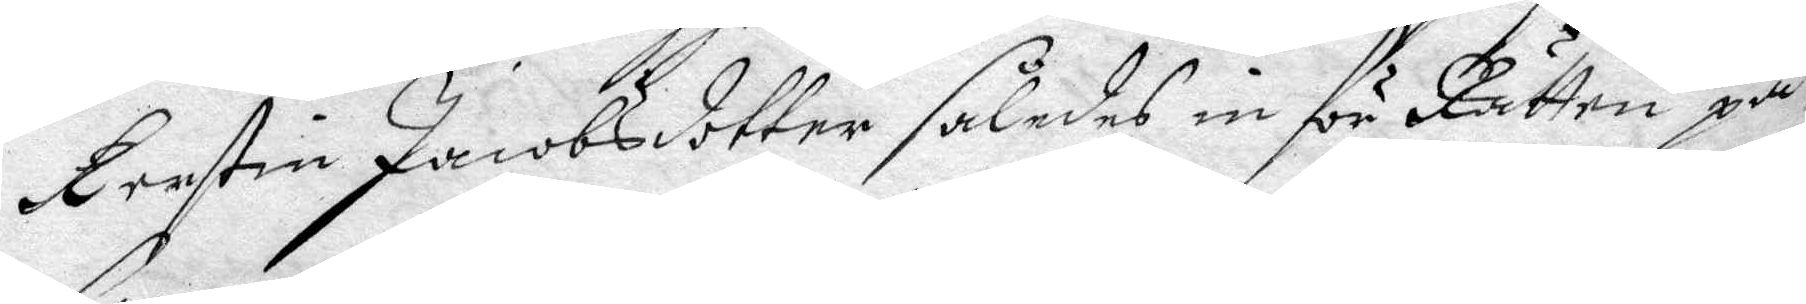Kerstin Jacobsdotter således inför Rätten på
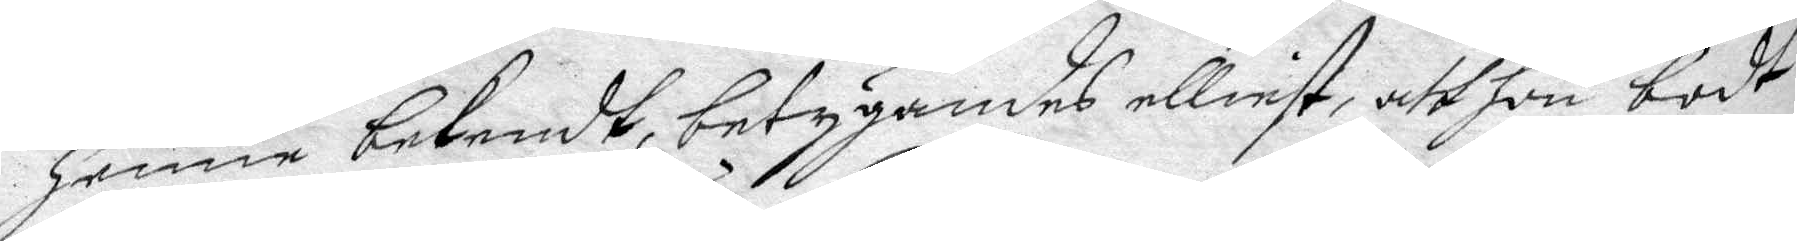henne bekendt, betygandes elliest, att hon bodt
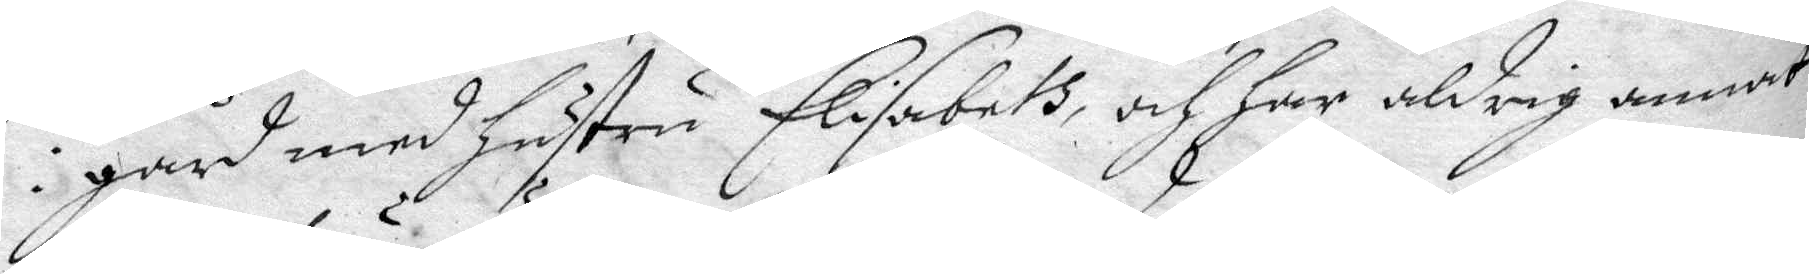i gård med hustru Elisabeth, och har aldrig annat
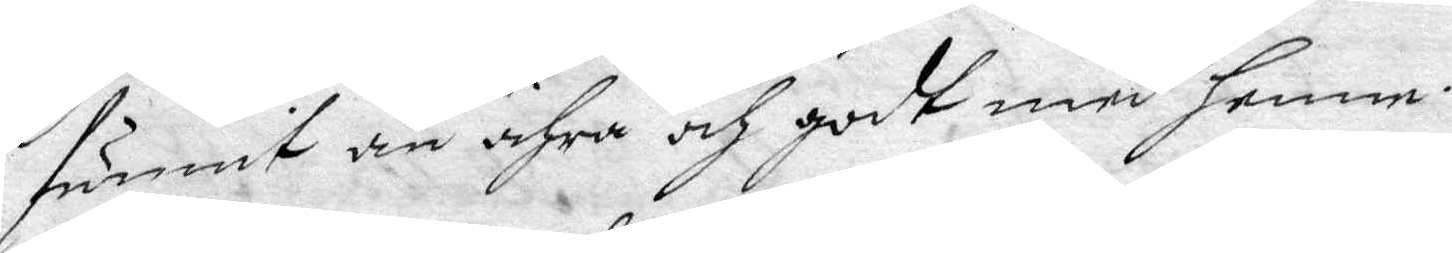funnit än ähra och godt med henne.
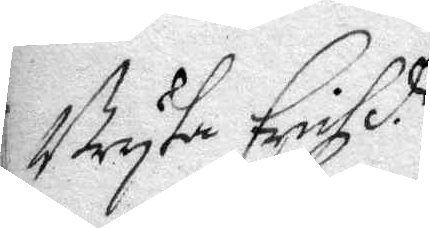Bryta Erichzd.r
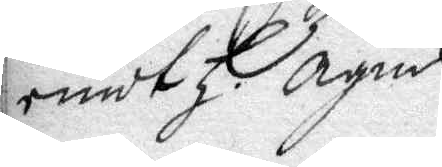emot h. Agnis.
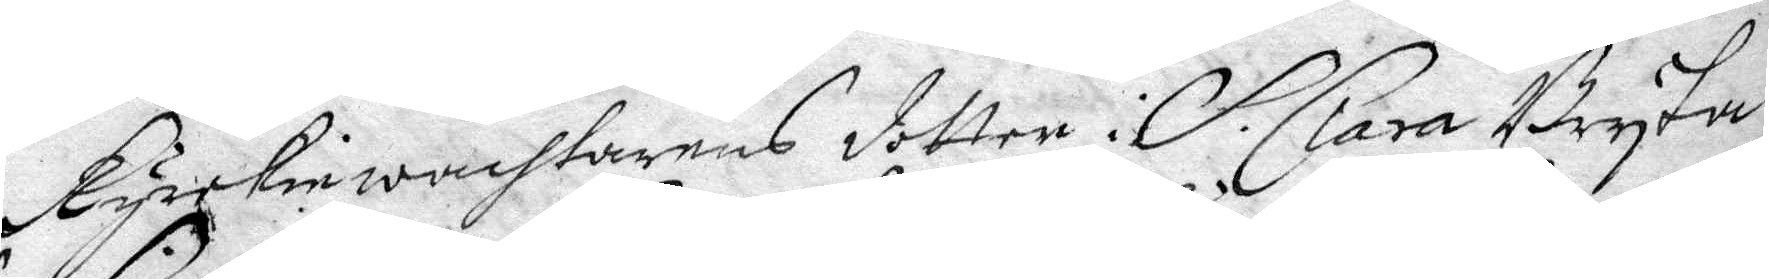Kyrckiewachtarens dotter i S. Clara Bryta
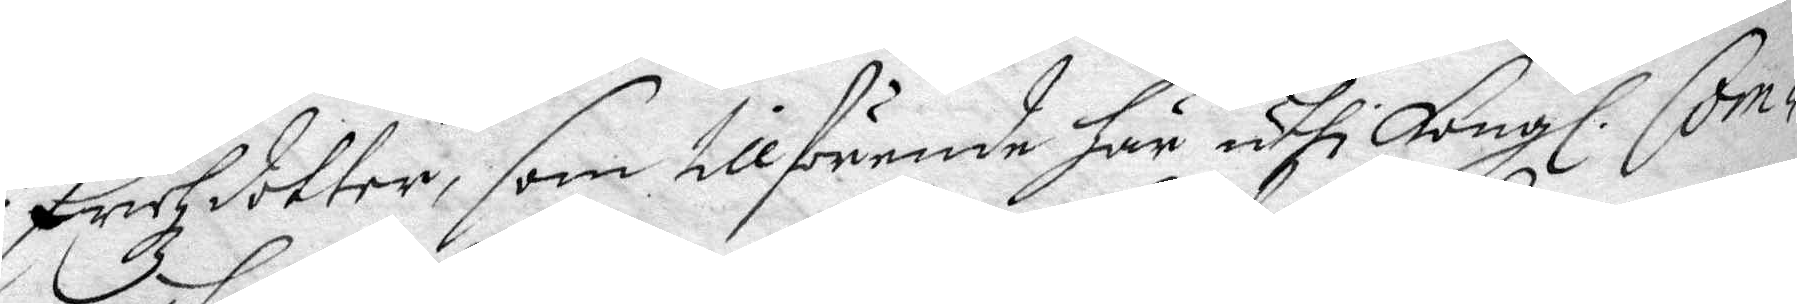Erichzdotter, som tillförende här uthi Kongl. Com¬
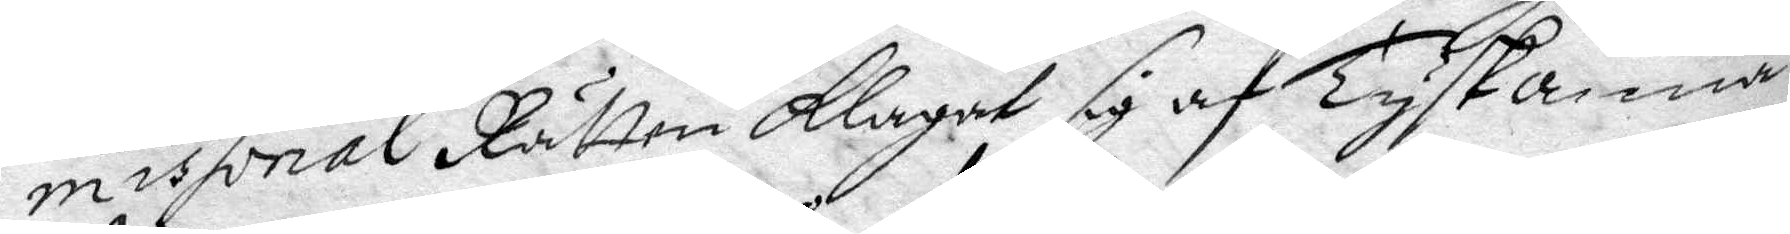missorial Rätten Klagat sig af Tyskanna
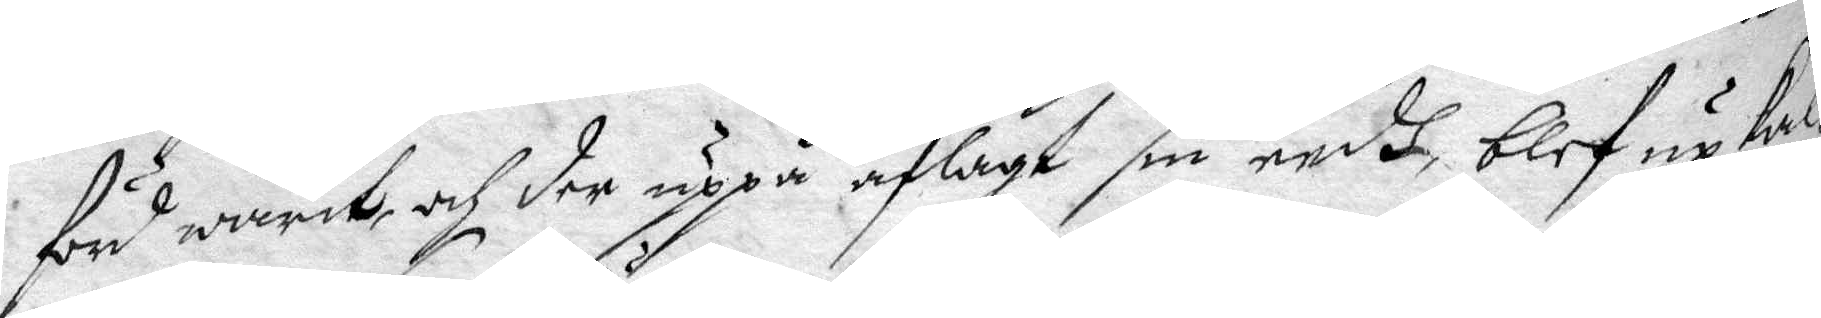förd warit, af der uppå aflagt sin eedh blef up kal¬
